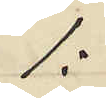1:
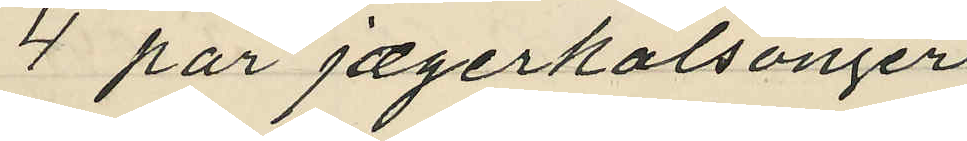4 par jægerkalsonger
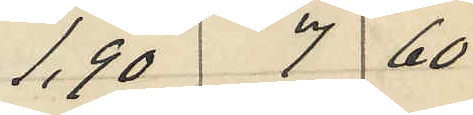1,90 7 60
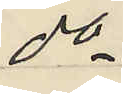do
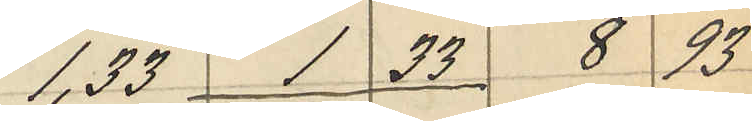1,33 1 33 8 93
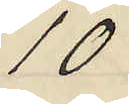10
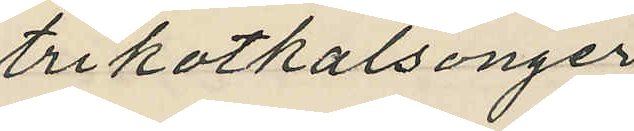trikotkalsonger
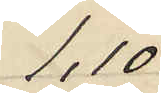1,10
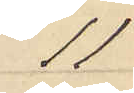11
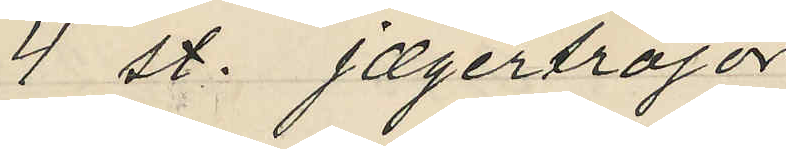4 st. jægertröjor
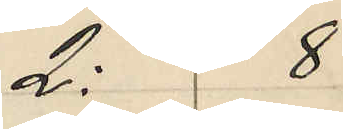2: 8
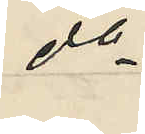do
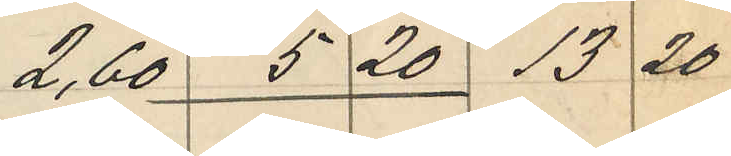2,60 5 20 13 20
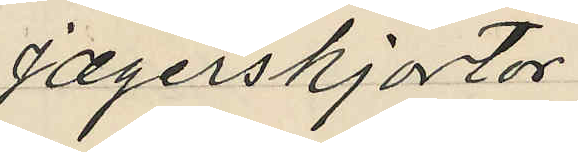Jægerskjortor
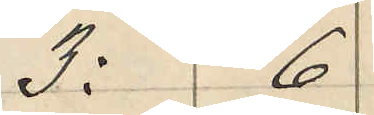3: 6
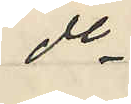do
